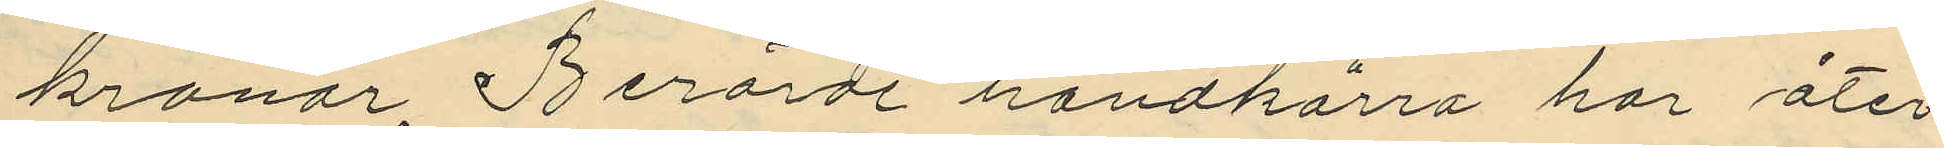kronor. Berörde handkärra har åter¬
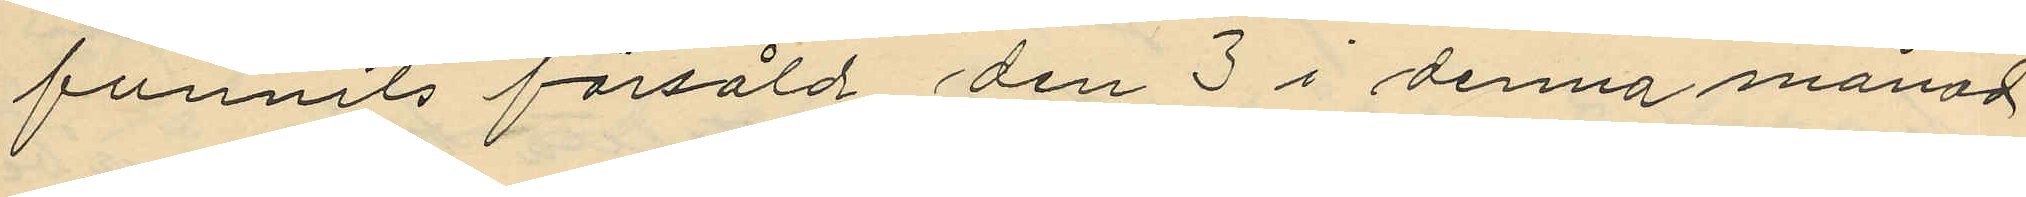funnits försåld den 3 i denna månad
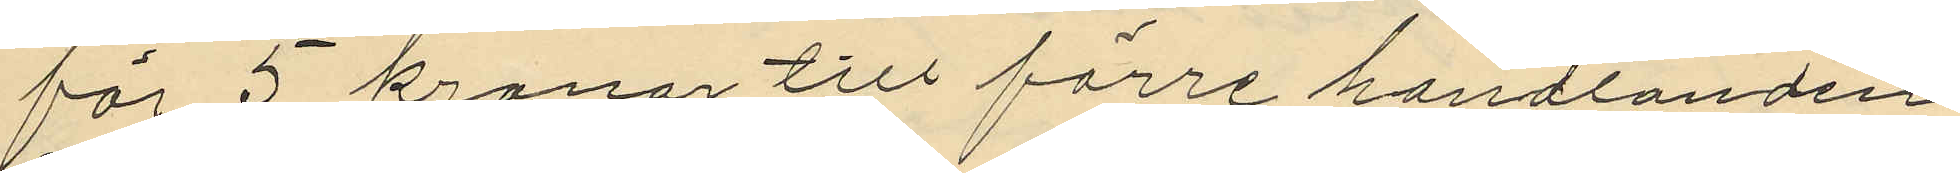för 5 kronor till förre handlanden
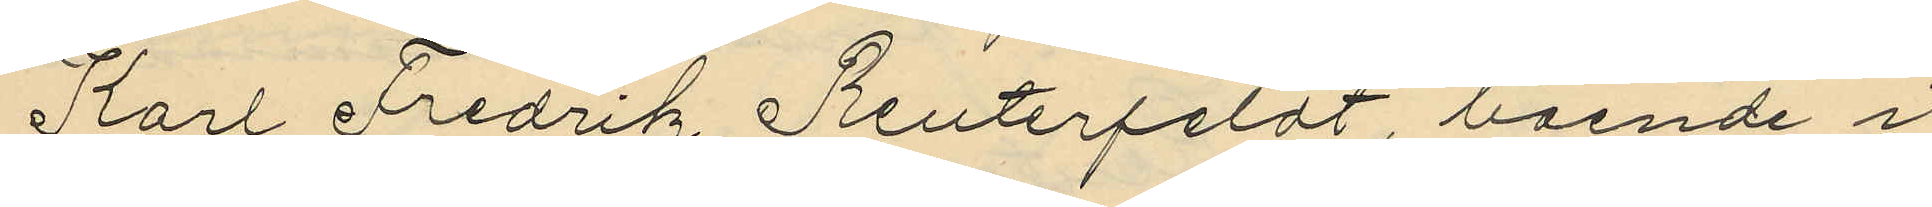Karl Fredrik Reuterfeldt, boende i
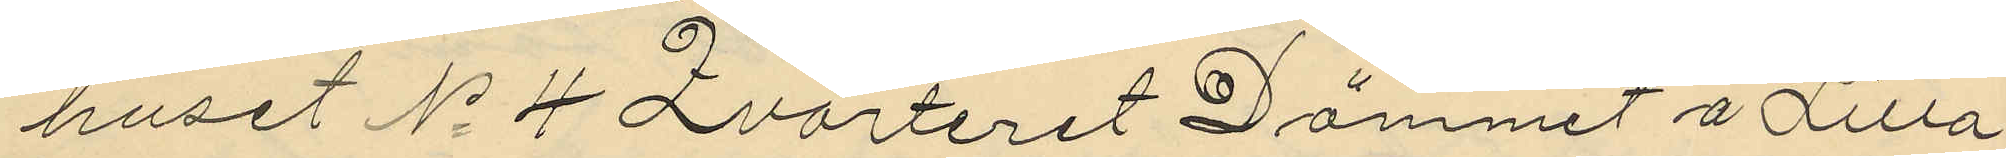huset No 4 Qvarteret Dämmet å Lilla
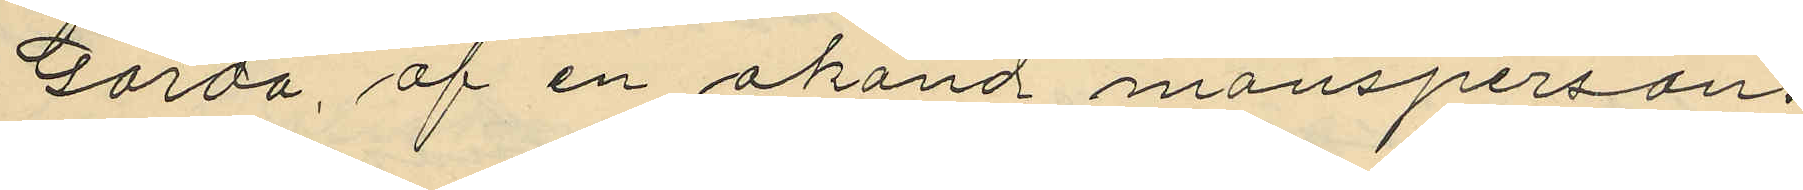Gårda, af en okänd mansperson.
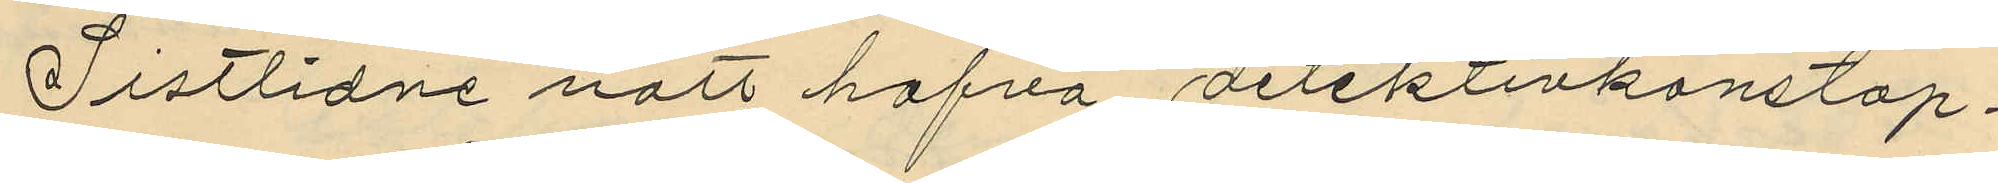Sistlidne natt hafva detektivkonstap¬
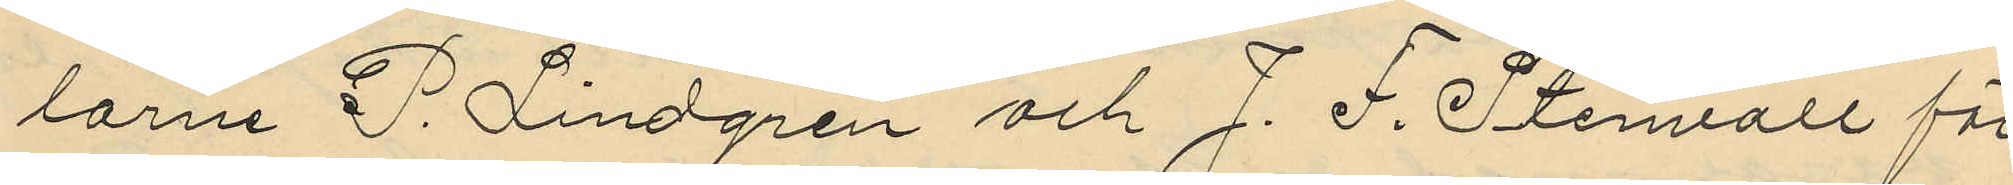larne P. Lindgren och J. F. Stenvall för
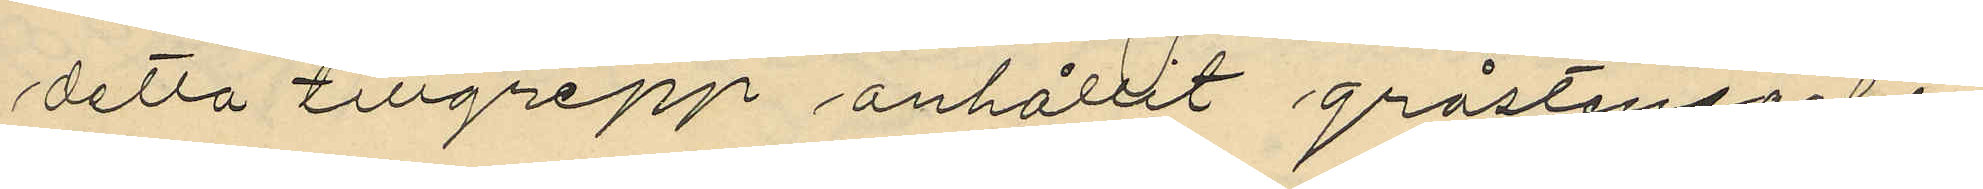detta tillgrepp anhållit gråstensarbe¬
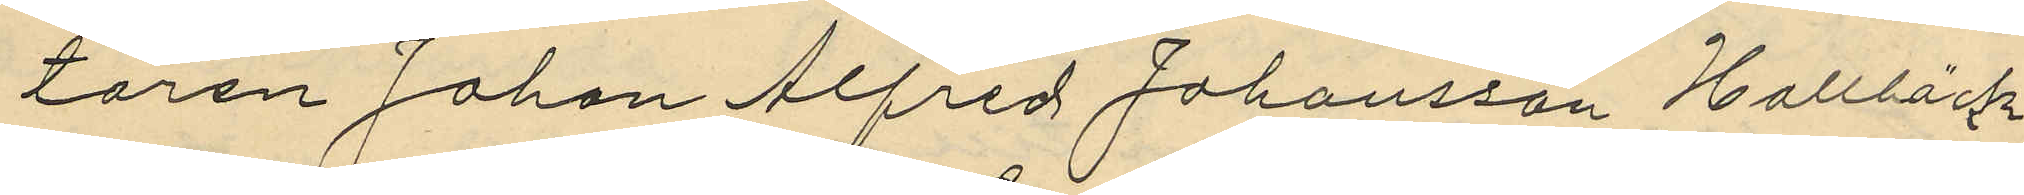taren Johan Alfred Johansson Hallbäck
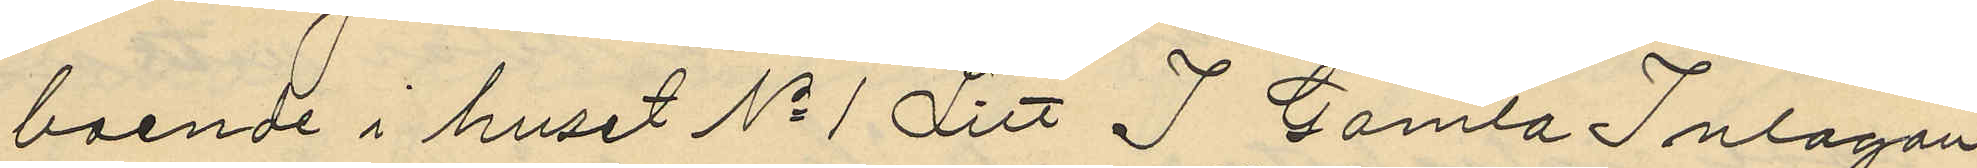boende i huset No 1 Litt I Gamla Inlagan
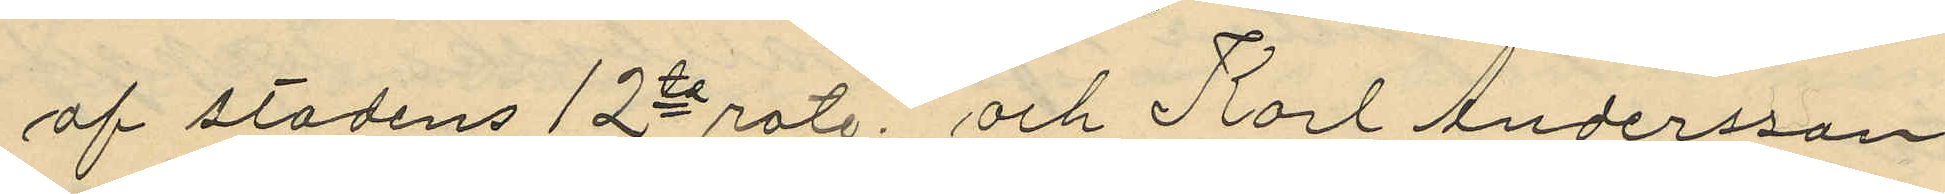af stadens 12te rote, och Karl Andersson
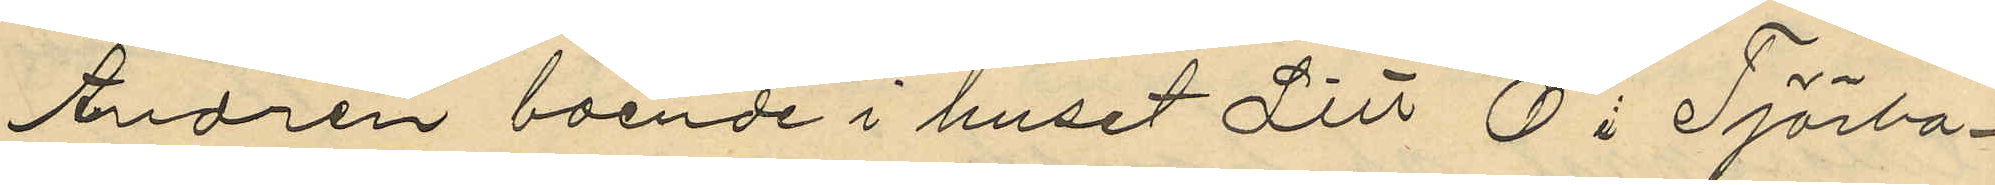Andrén boende i huset Litt O i Tjörbo¬
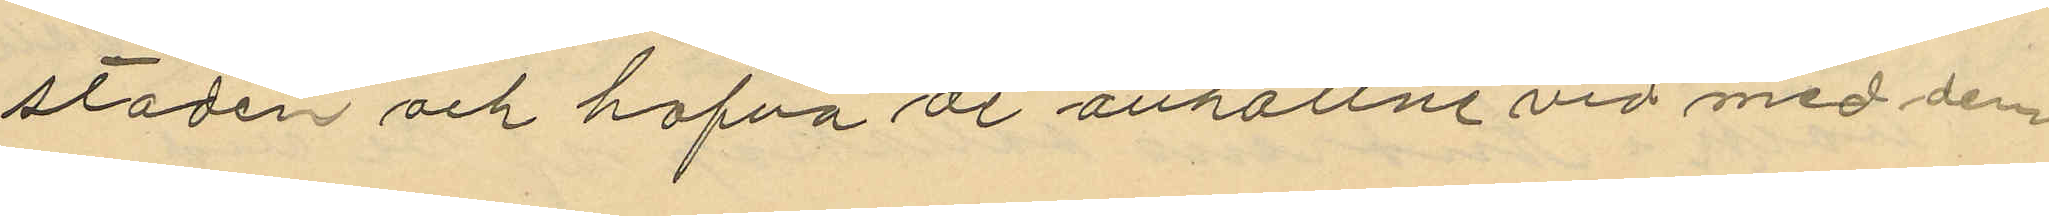staden och hafva de anhållne vid med den
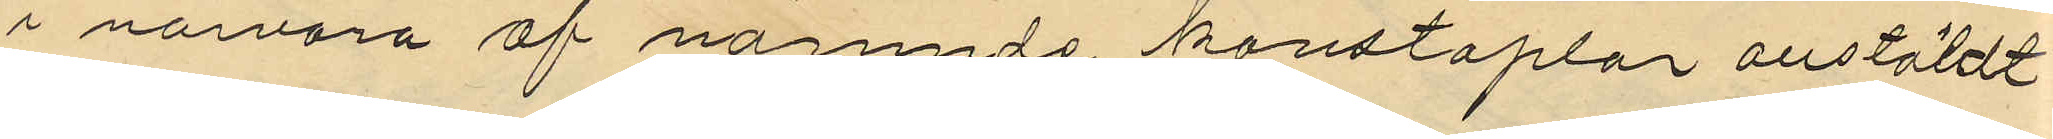i närvaro af nämde konstaplar anstäldt
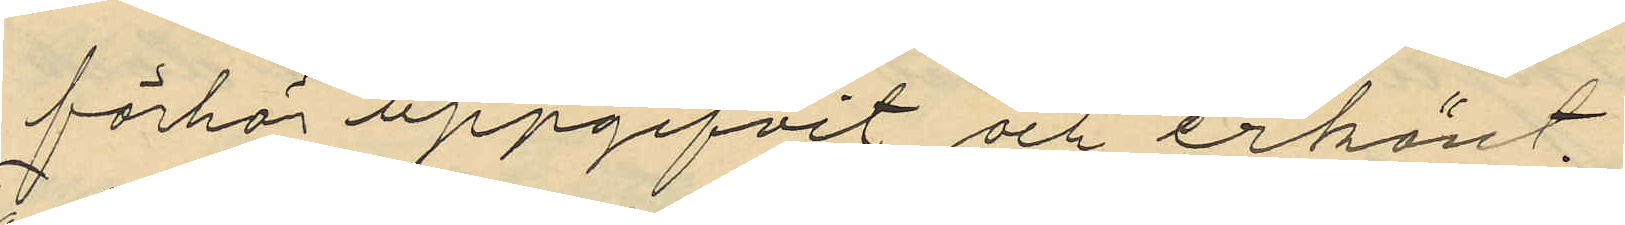förhör uppgifvit och erkänt.
